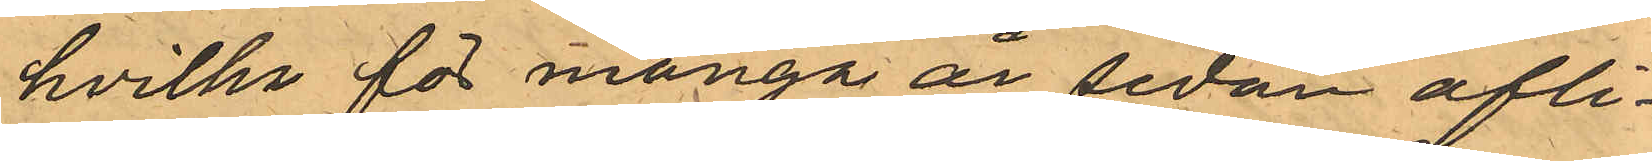      hvilka för många år sedan afli¬
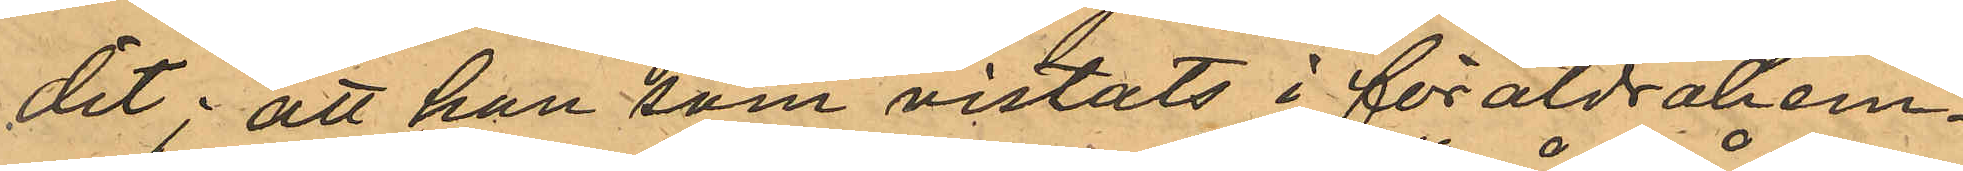dit; att han som vistats i föräldrahem¬
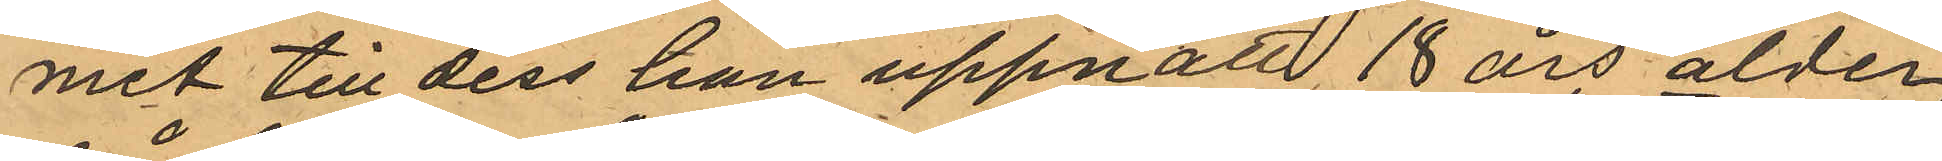mit till dess han uppnått 18 års ålder;
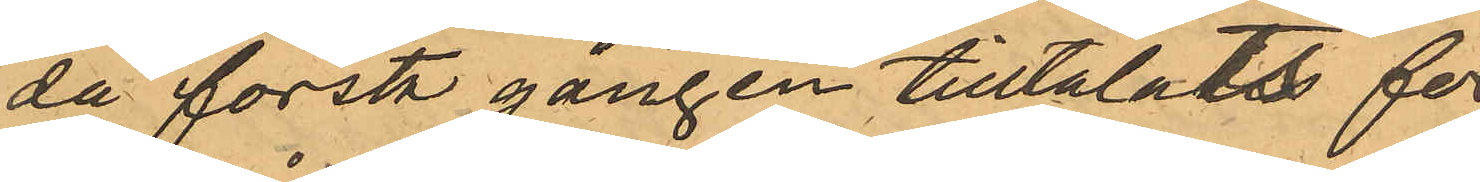då första gången tilltalats för¬
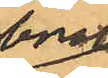brott
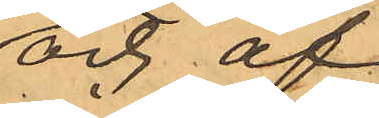och af
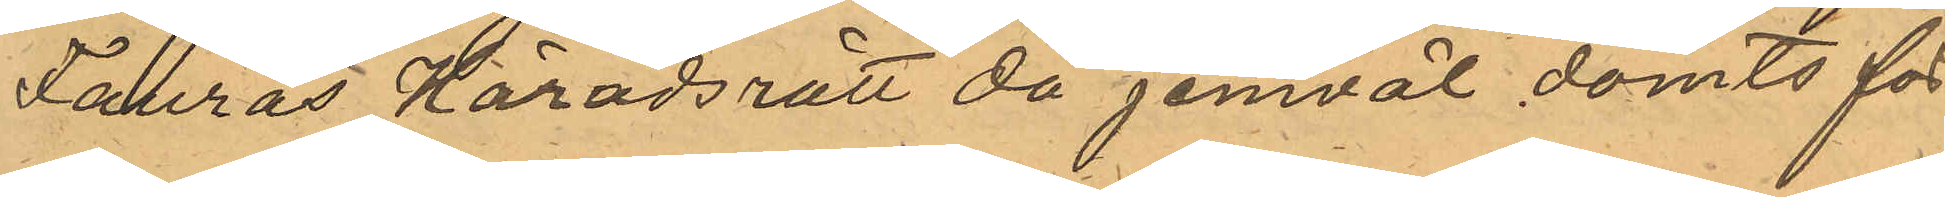Fanrås Häradsrätt då jemväl dömts för¬
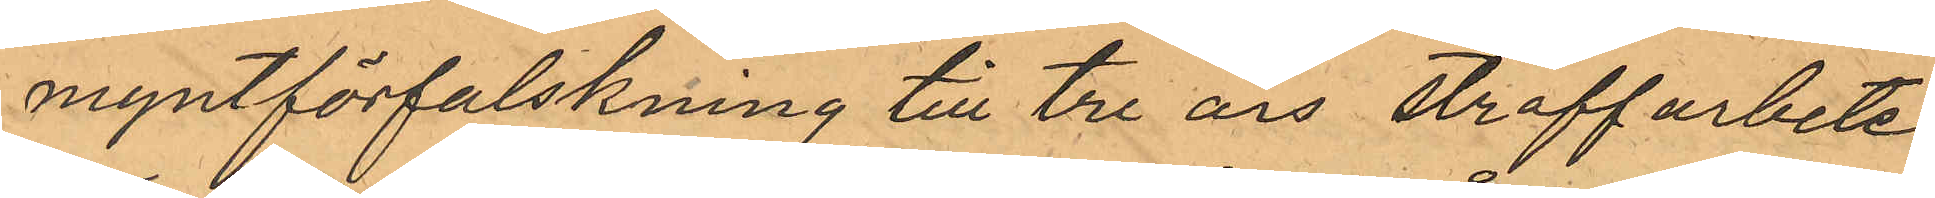myntförfalskning till tre års straffarbete;
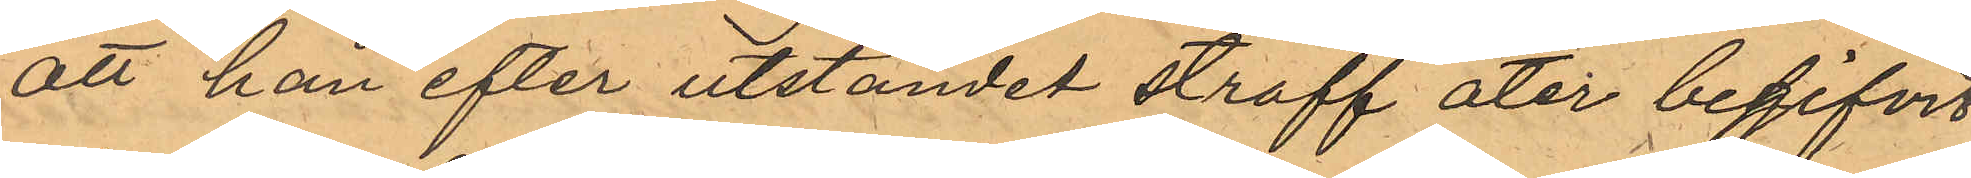att han efter utståndet straff åter begifvit
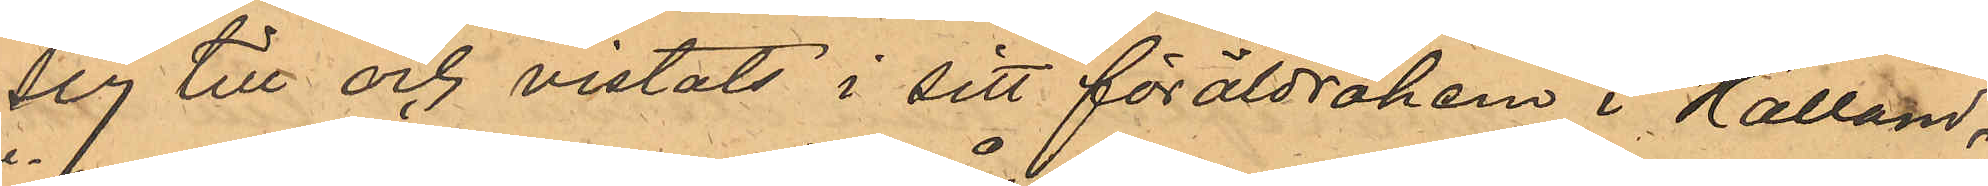sig till och vistats i sitt föräldrahem i Halland,
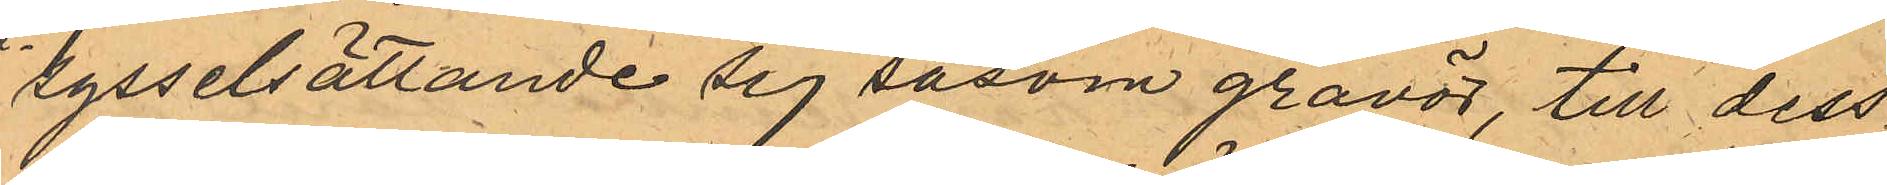sysselsättande sig såsom gravör, till dess
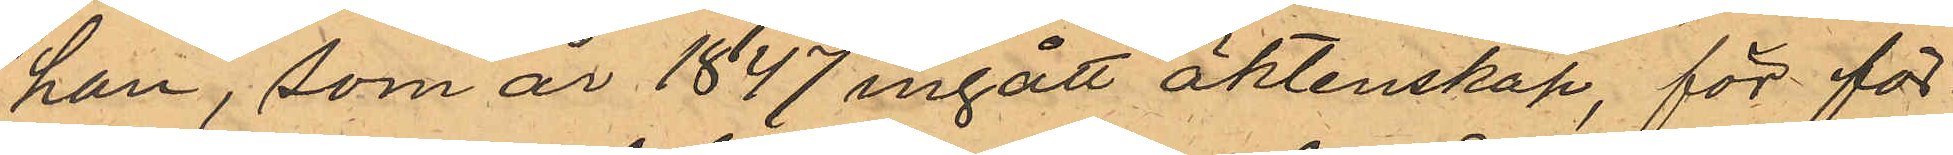han, som år 1847 ingått äktenskap, för för¬
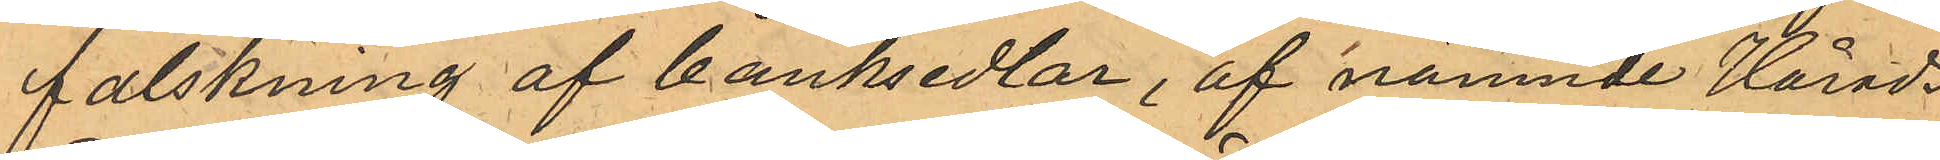falskning af banksedlar, af nämnde Härads¬
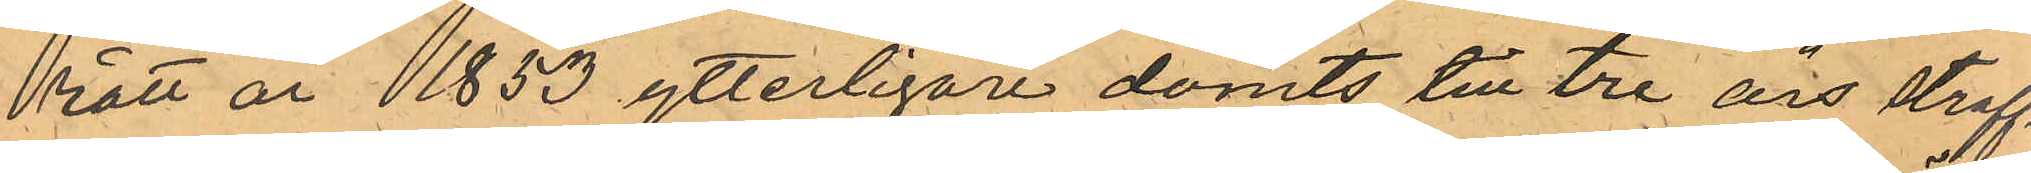rätt år 1853 ytterligare dömts till tre års straff¬
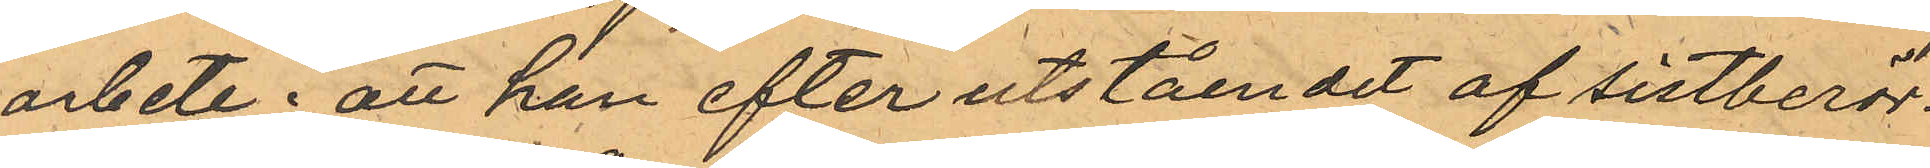arbete; att han efter utståendet af sistberör¬
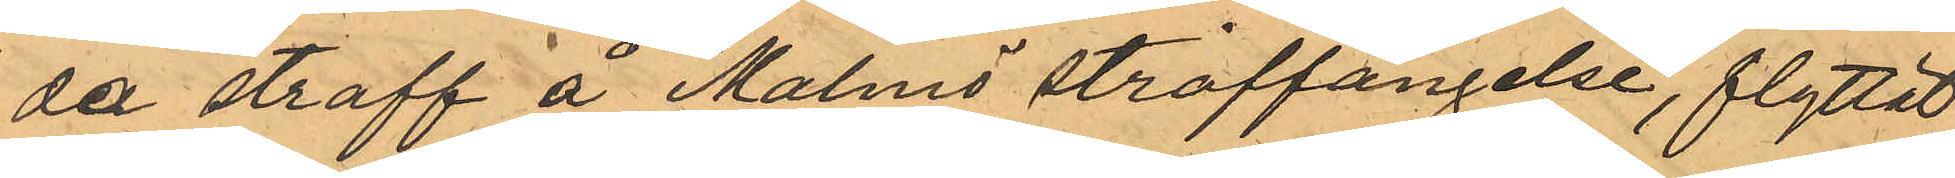da straff å Malmö straffängelse, flyttat
